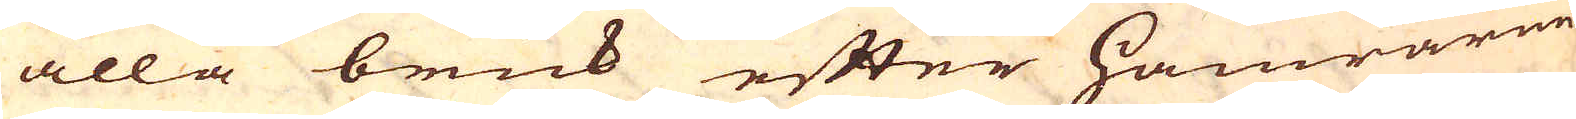alla bruk efter Hamrarne
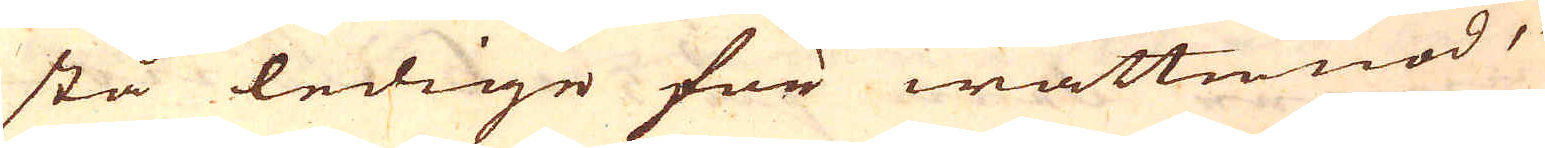stå ledige för wattunöd,
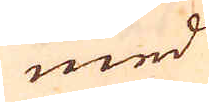med
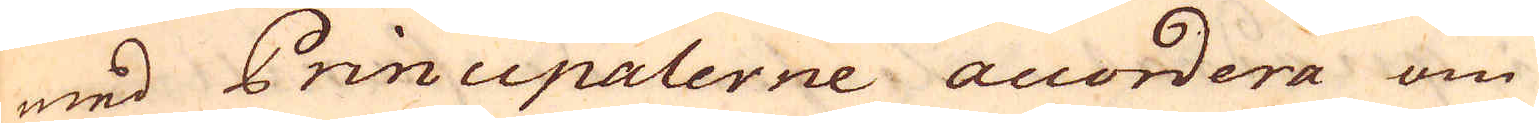med Principalerne accordera om
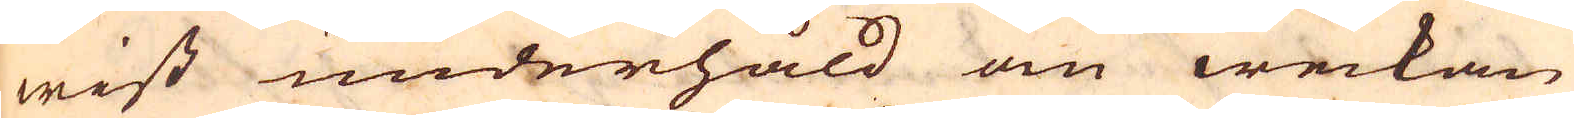wist underhåld om weckan
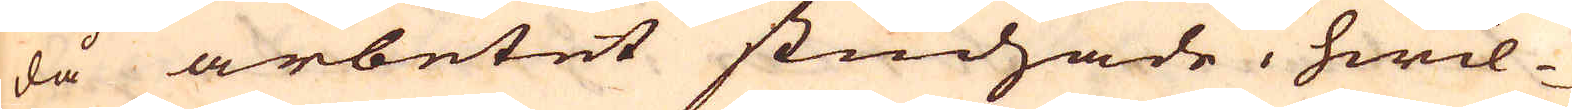då arbetet studzade, hwil-
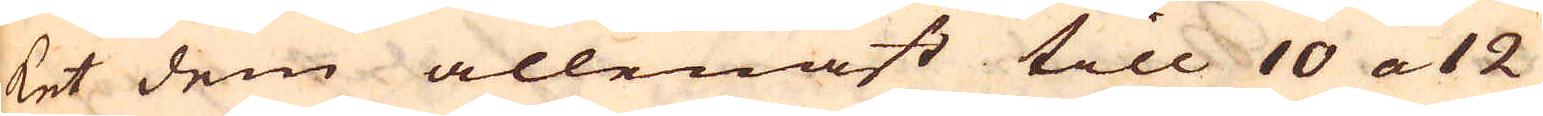ket dem allenast till 10 a 12
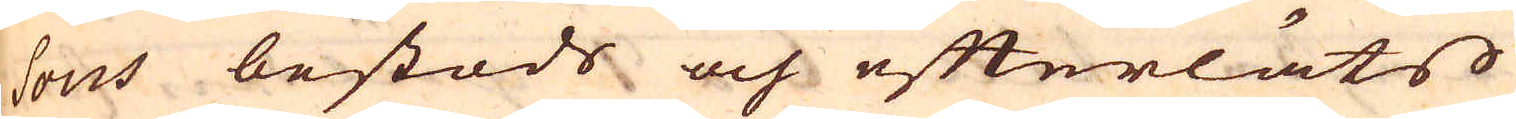sous bestods och efterläts
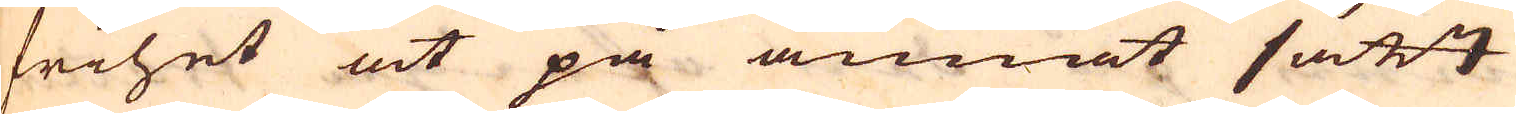frihet at på annat sätt
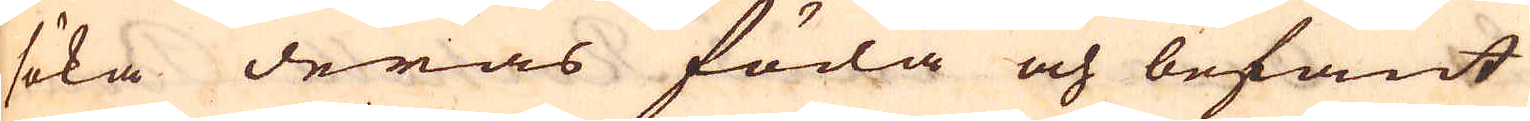söka deras föda och befant
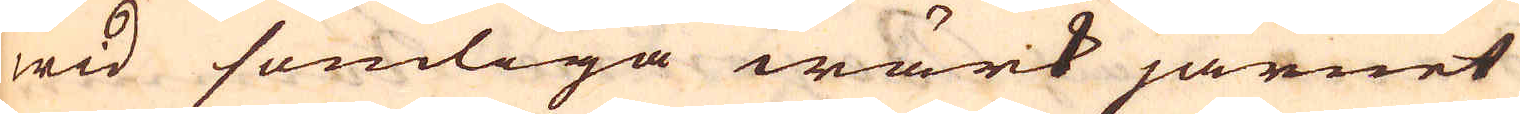wid somliga wärk järnet
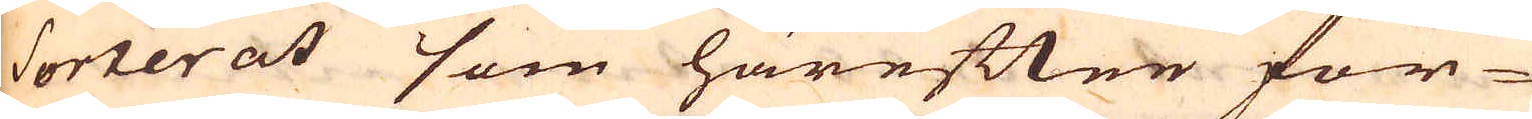sorterat som härefter för-
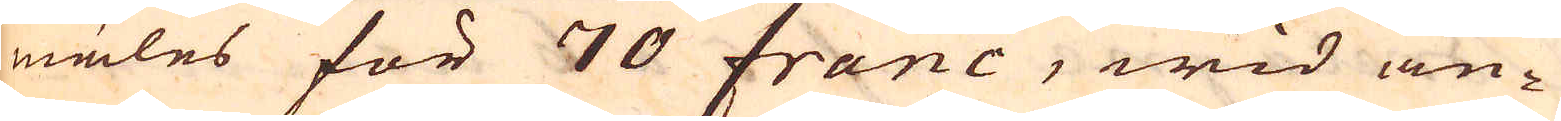mäles för 70 franc, wid an-
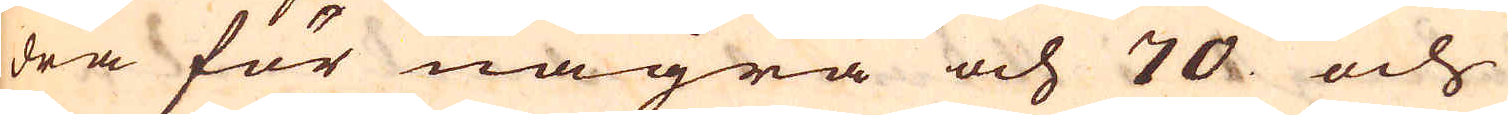dra för några och 70 och
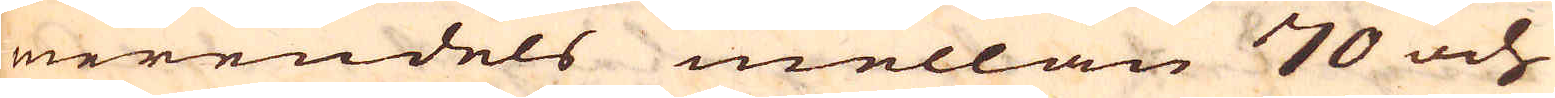merendels mellan 70 och
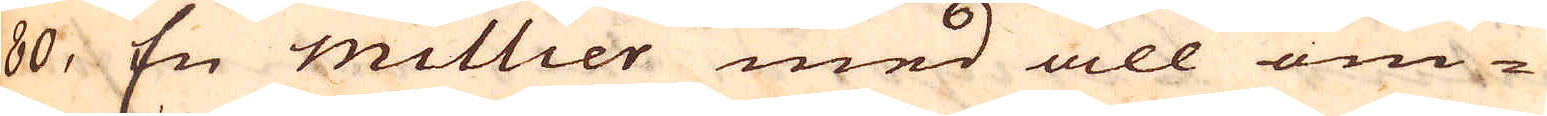80, En millier med all om-
